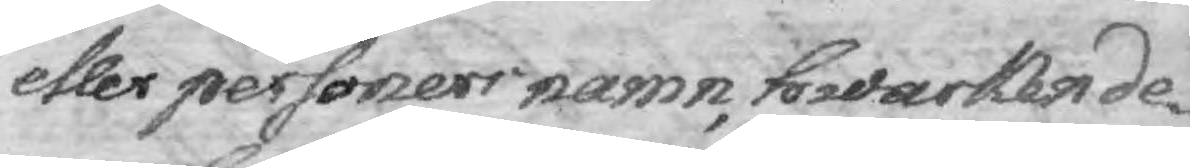eller personers namn, hwarken de¬
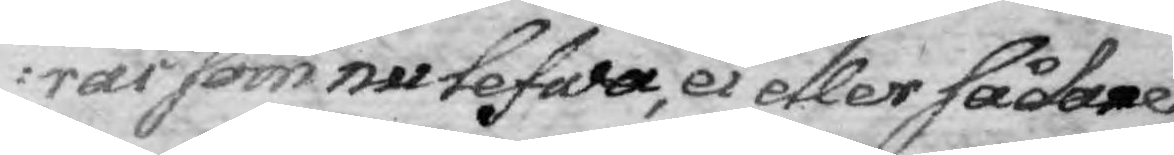rar som nu lefwa, ei eller sådanes,
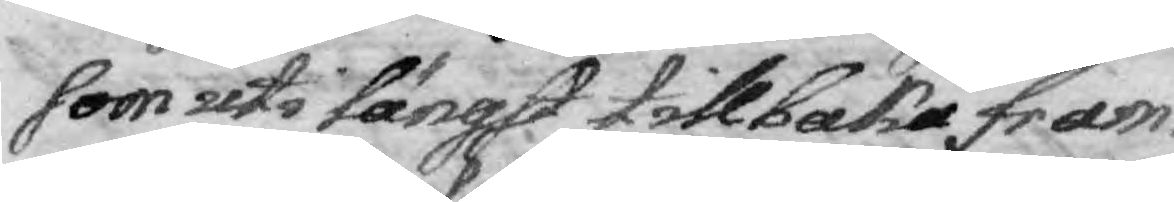som uti längst tillbaka fram¬
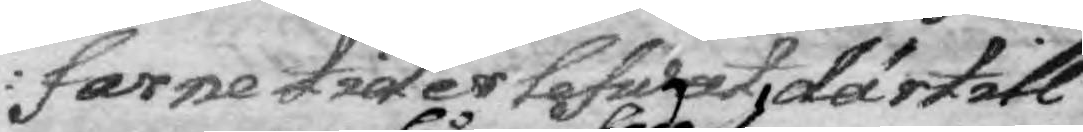farne tider lefwat, därtill
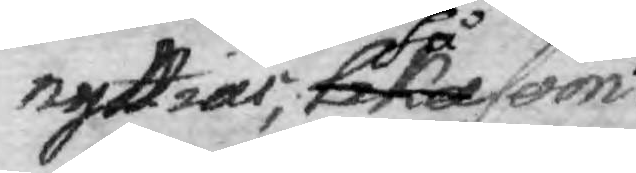nyttias, lika så som
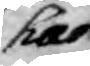hade
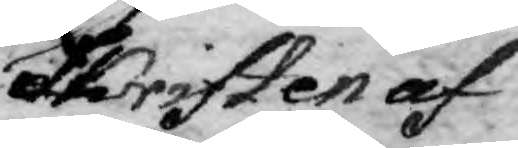Skriften af
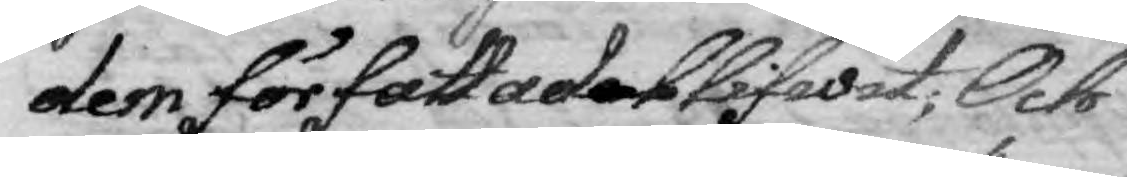dem författade blifwit; Och
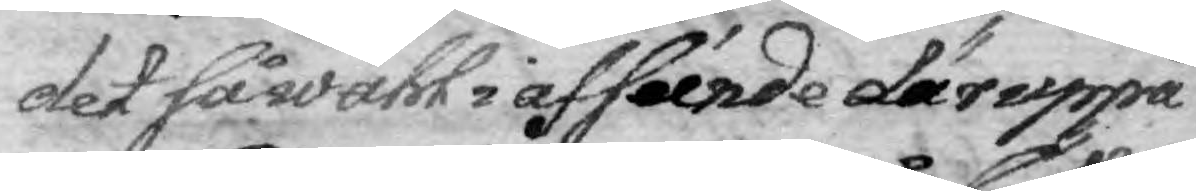det såwähl i afséende däruppå
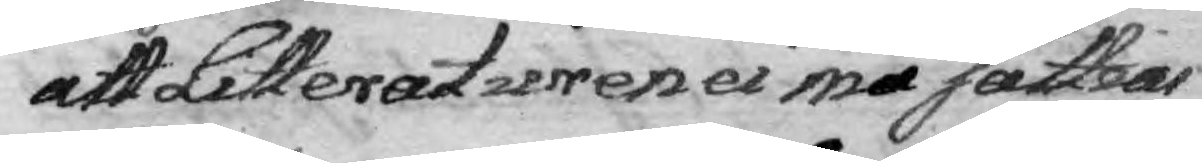att Litteraturen ei må sättias
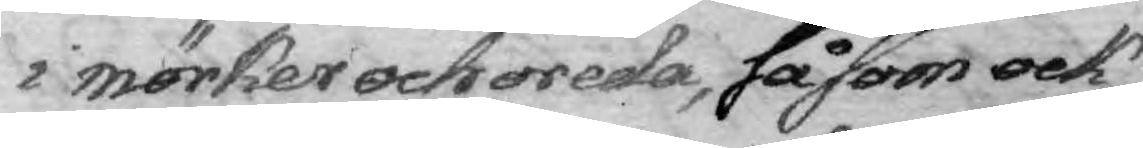i mörker och oreda, såsom ock
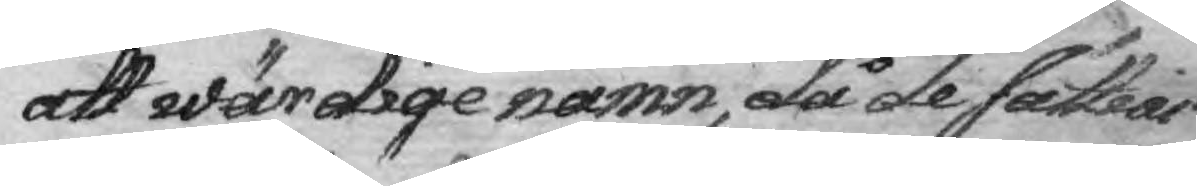att wärdige namn, då de sättias
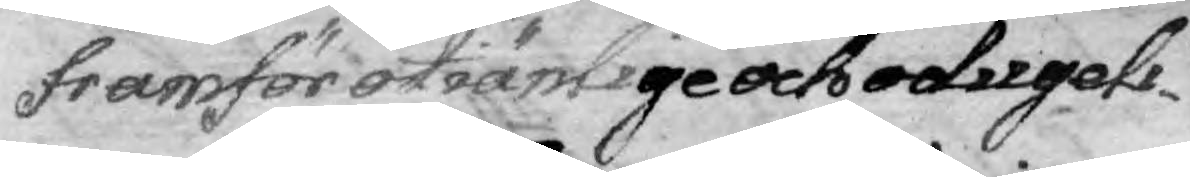framför otiänlige och odugeli¬
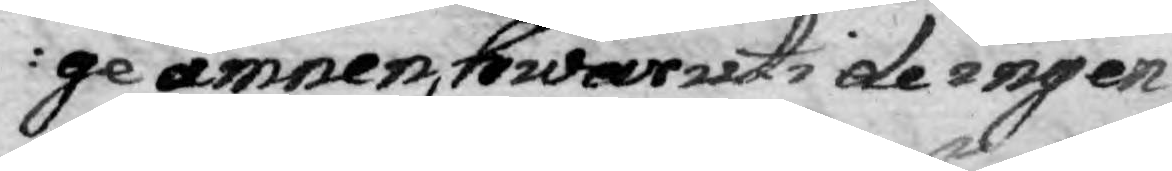ge ämnen, hwaruti de ingen
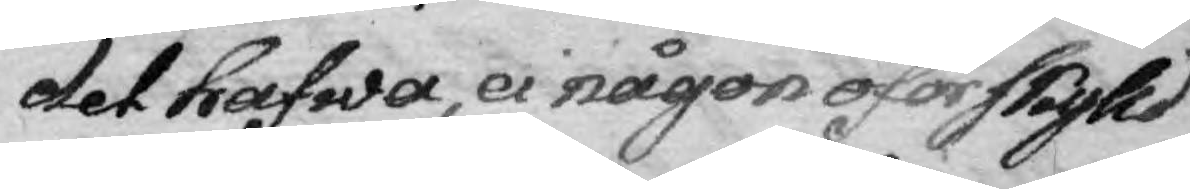det hafwa, ei någon oförskylld
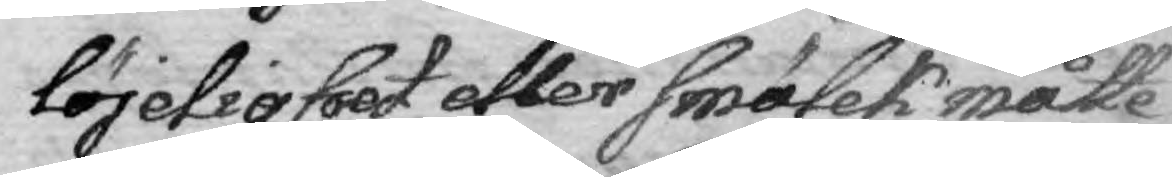löjelighet eller smölek måtte
